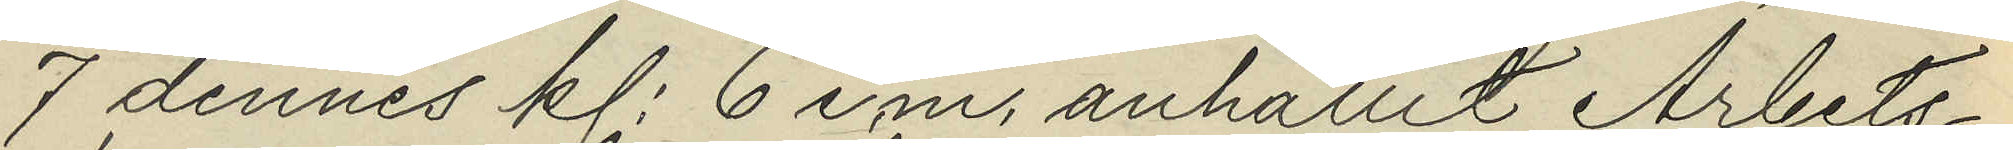7 dennes kl. 6 e.m. anhållit Arbets¬
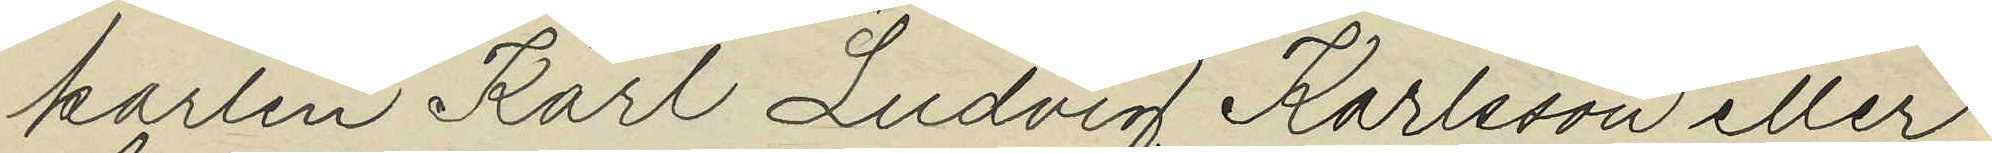karlen Karl Ludvig Karlsson eller
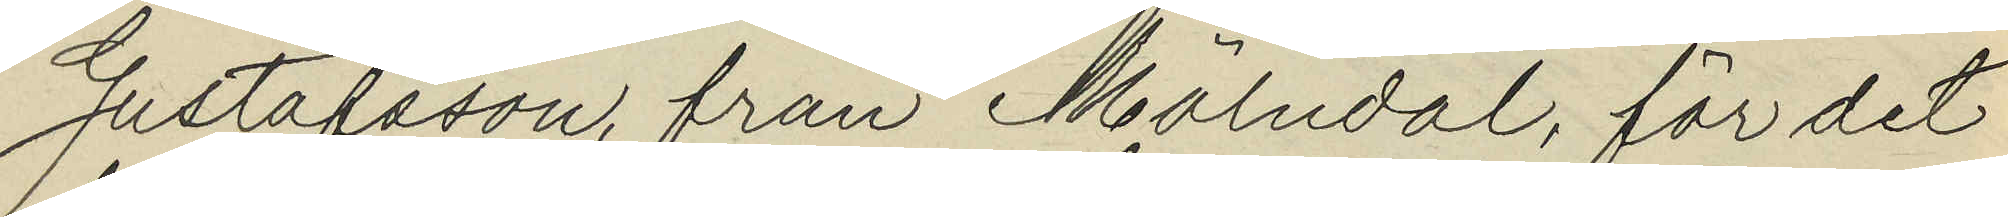Gustafsson, från Mölndal, för det
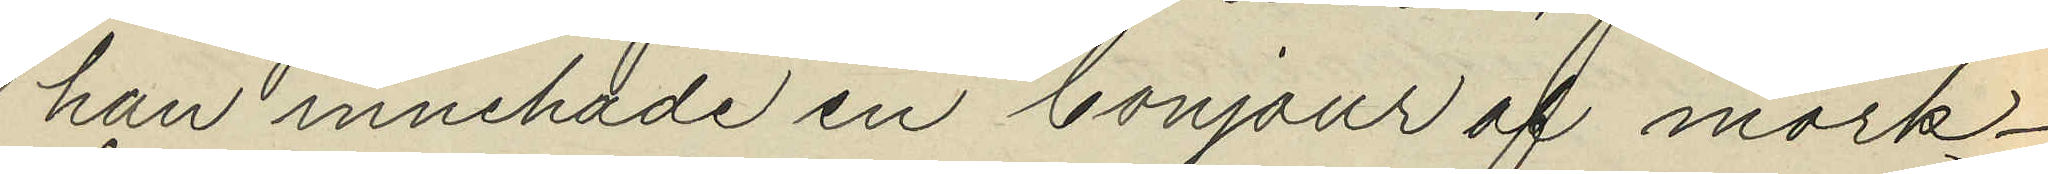han innehade en bonjour af mörk¬
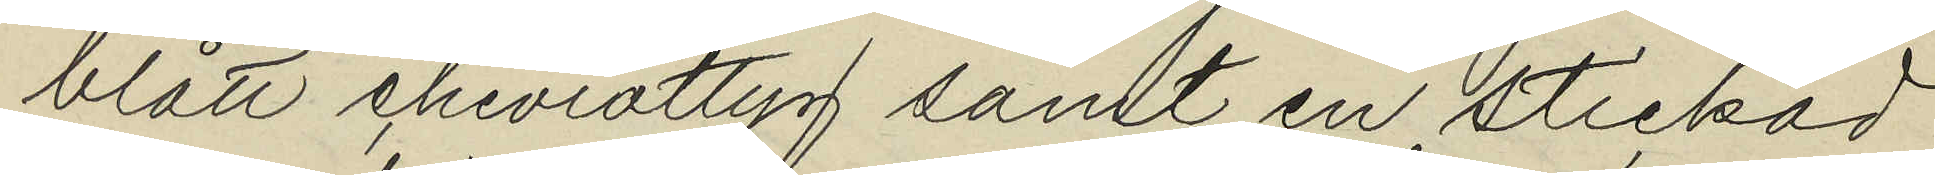blått cheviottyg samt en stickad
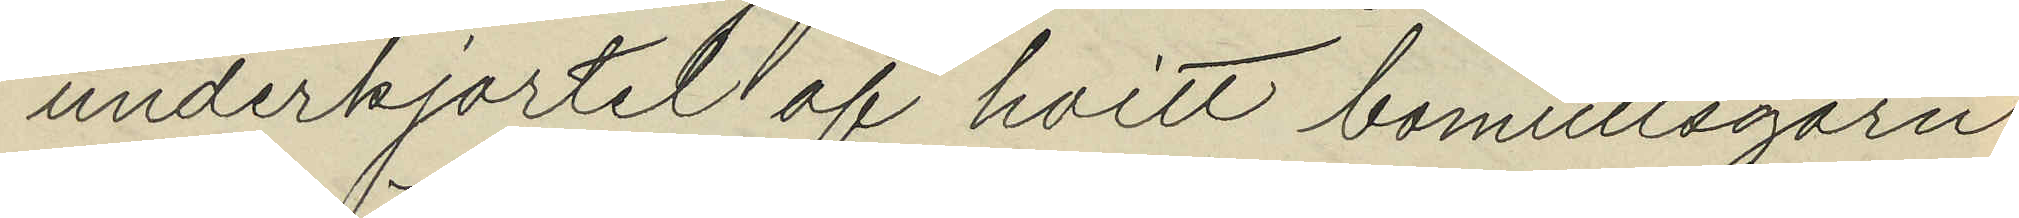underkjortel af hvitt bomullsgarn
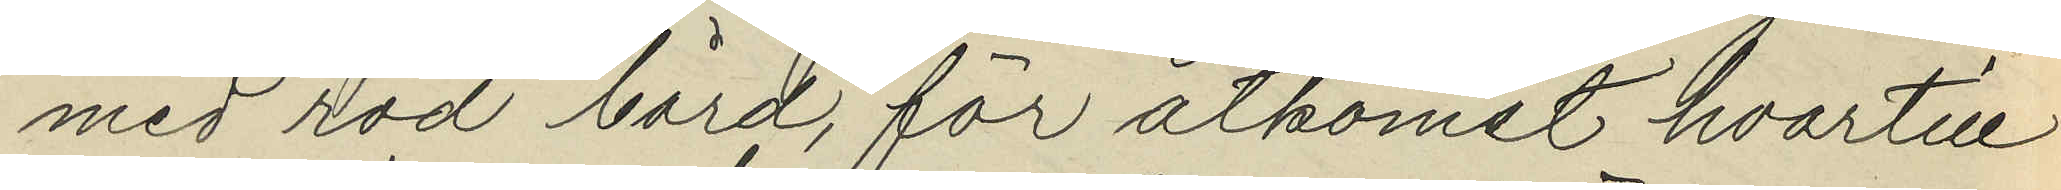med röd bård, för åtkomst hvartill
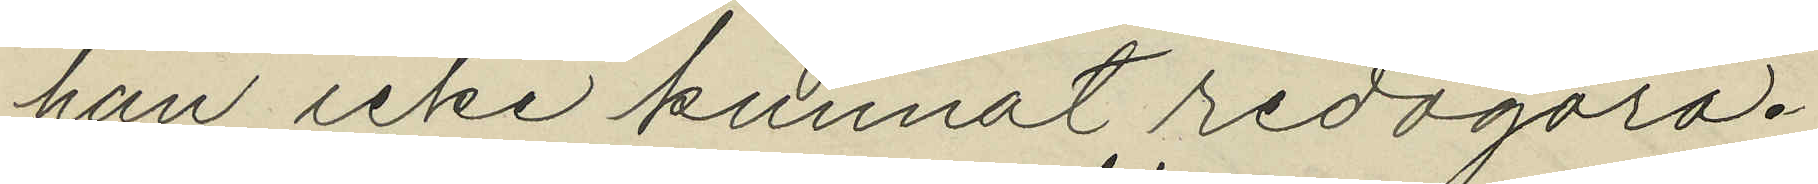han icke kunnat redogöra.
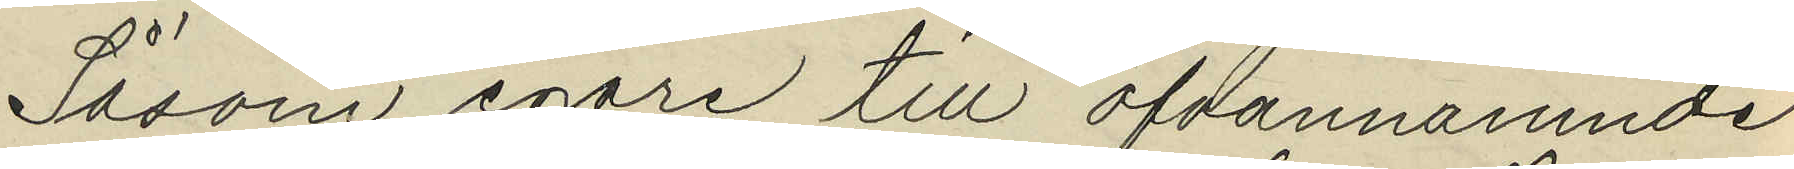Såsom egare till ofvannämnde
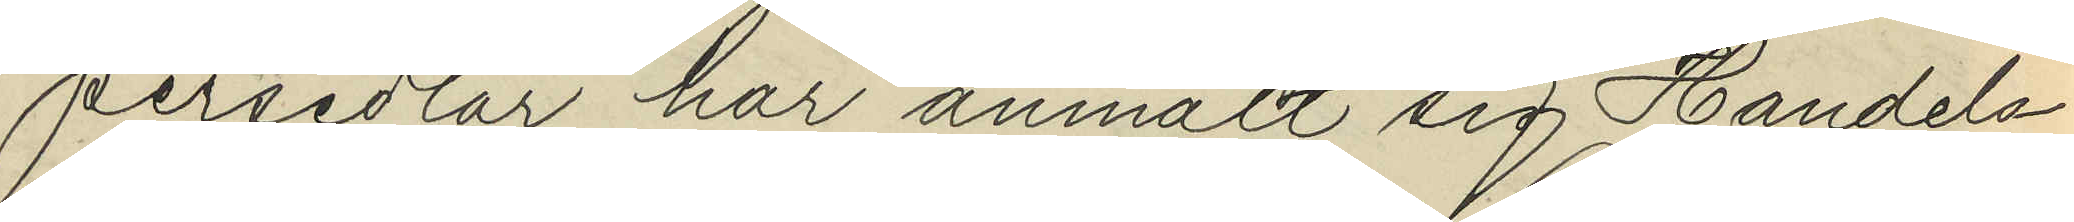persedlar har anmält sig Handels¬
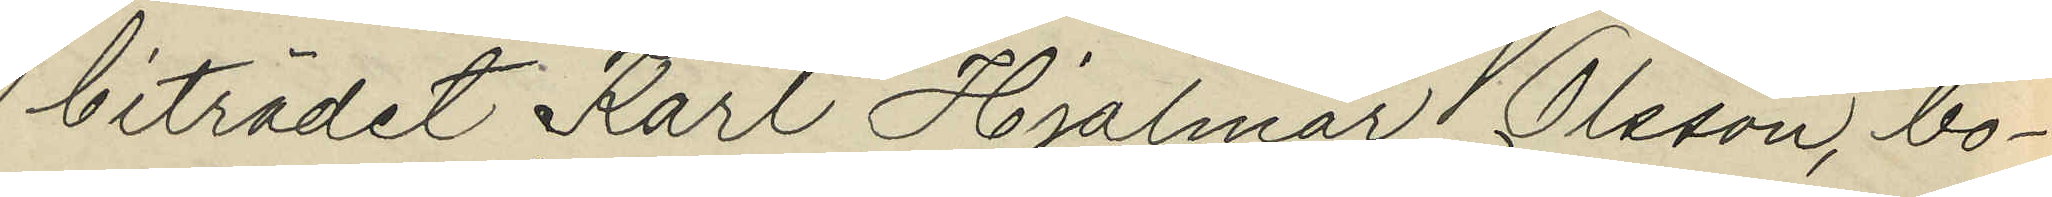biträdet Karl Hjalmar Olsson, bo¬
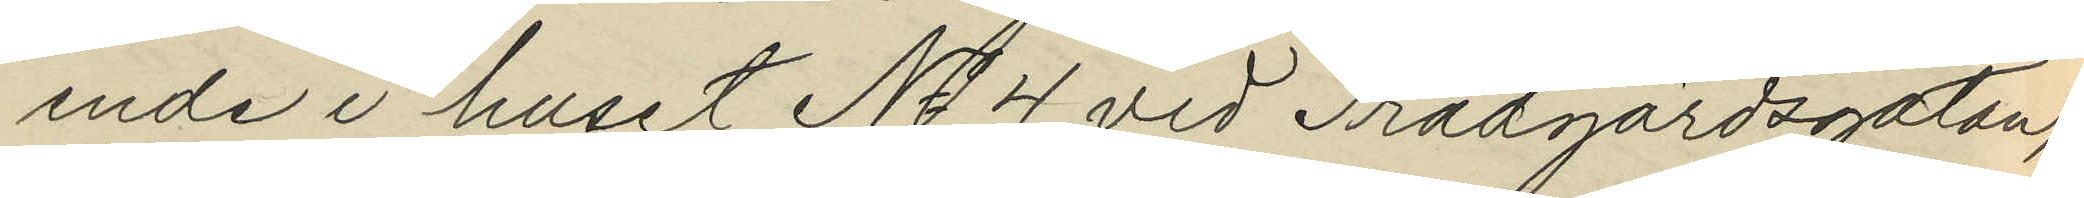ende i huset No 4 vid Trädgårdsgatan,
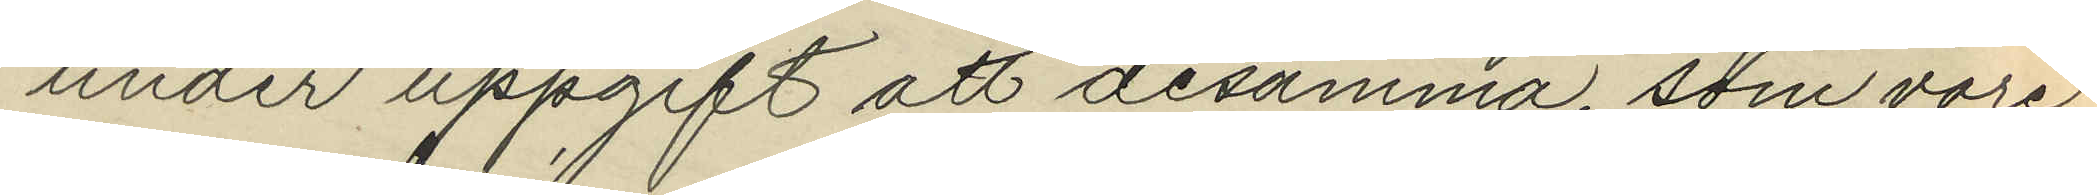under uppgift att desamma, som vore
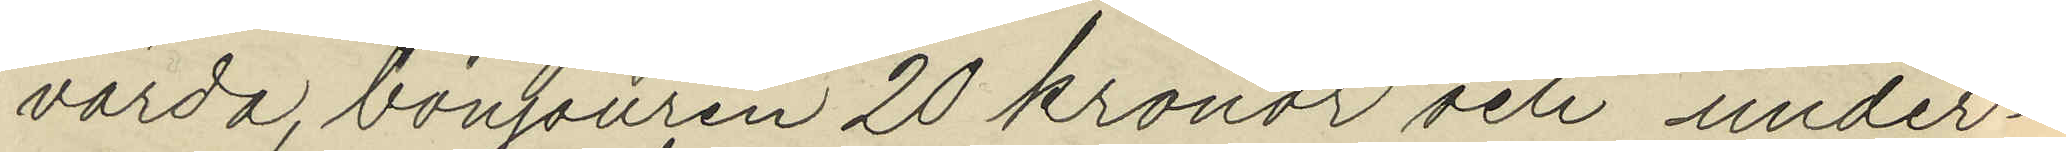värda, bonjouren 20 kronor och under¬
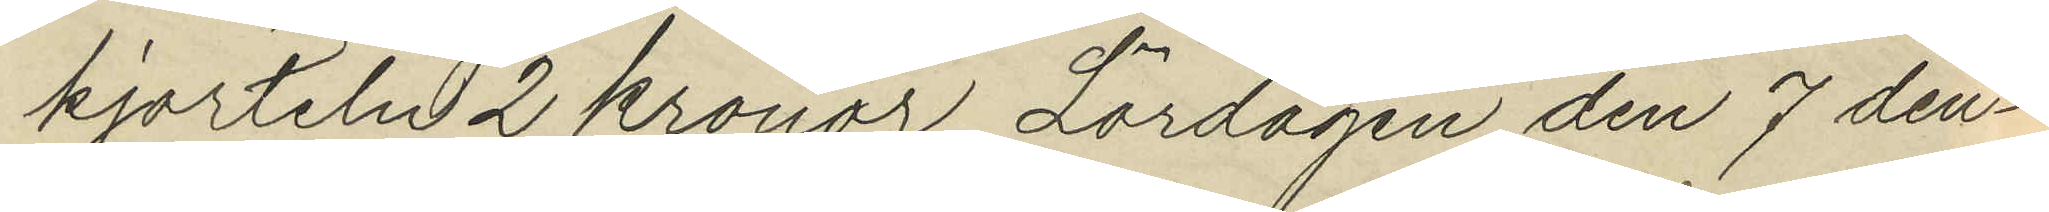kjorteln 2 Kronor, Lördagen den 7 den¬
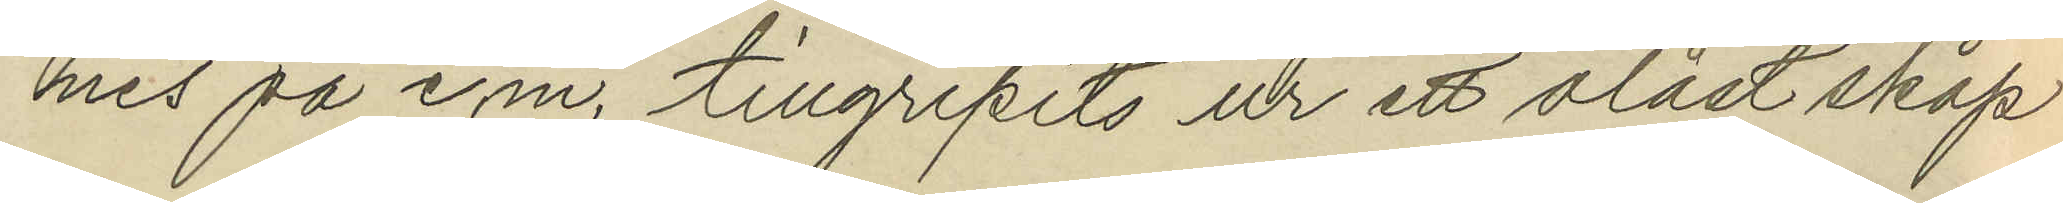nes på e.m. tillgripits ur ett olåst skåp
